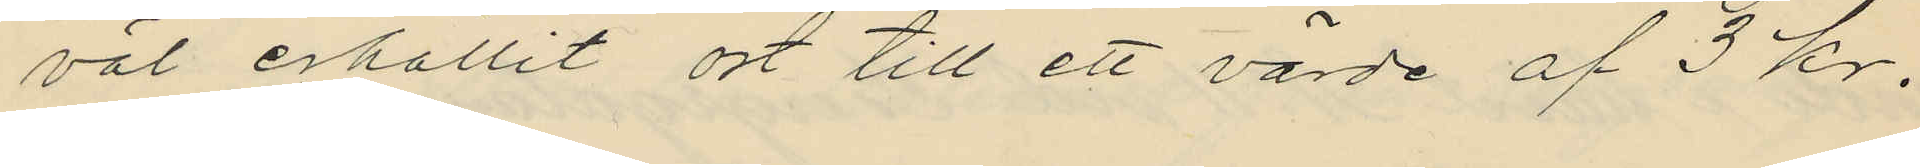väl erhållit ort till ett värde af 3 kr.
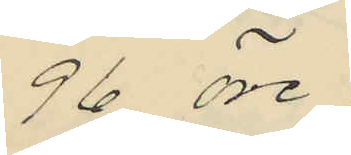96 öre;
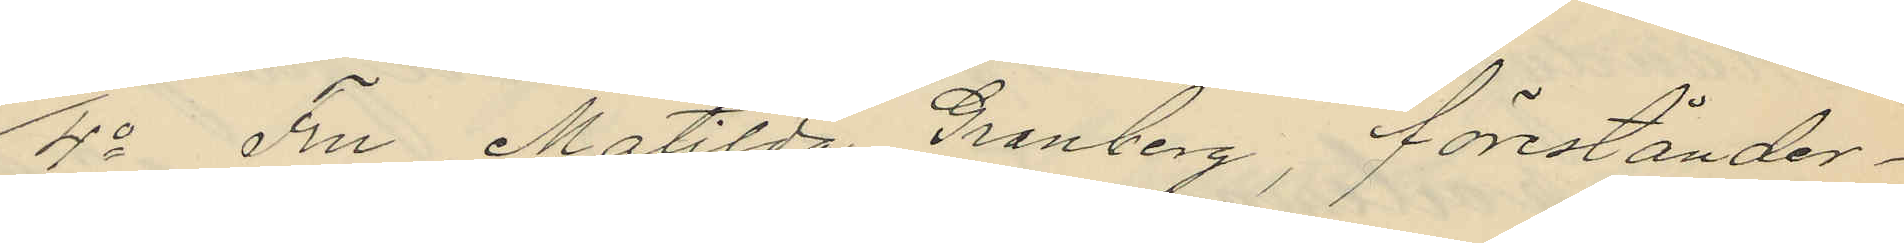4o Fru Matilda Granberg, förestånder¬
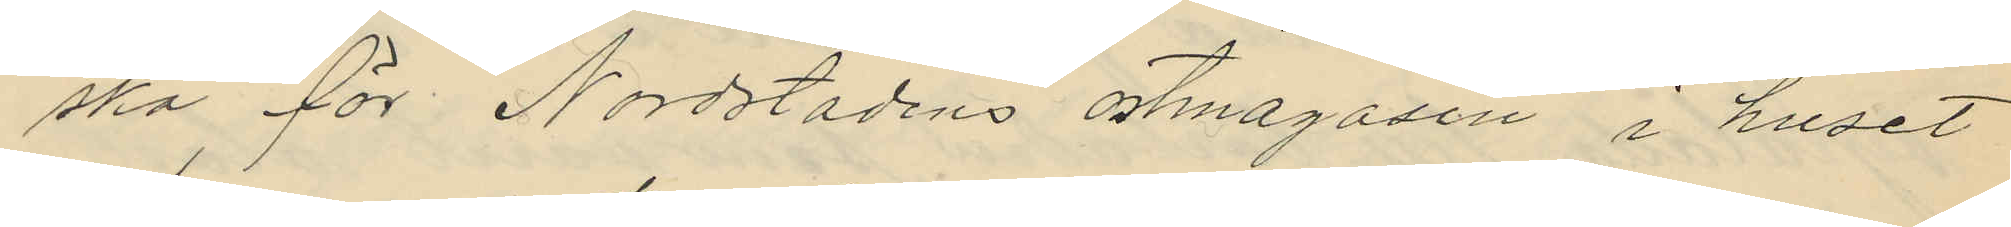ska för Nordstadens ostmagasin i huset
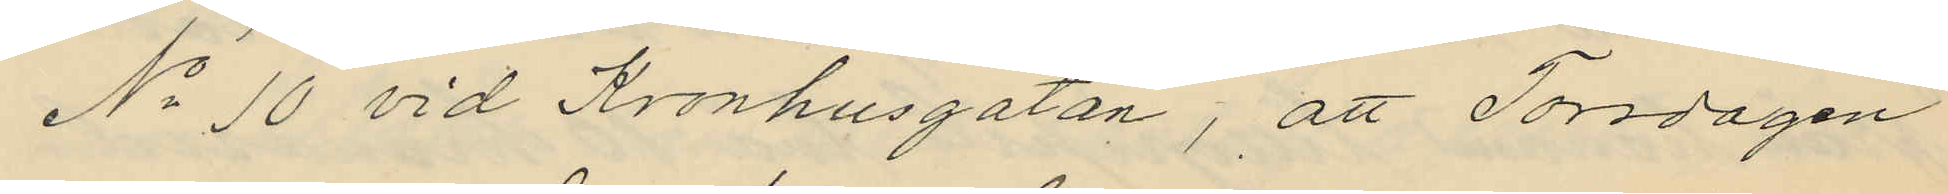No 10 vid Kronhusgatan, att Torsdagen
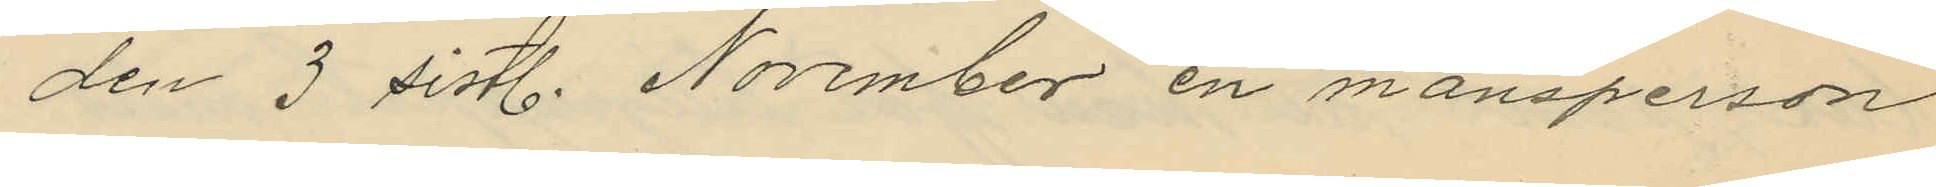den 3 sistl. November en mansperson
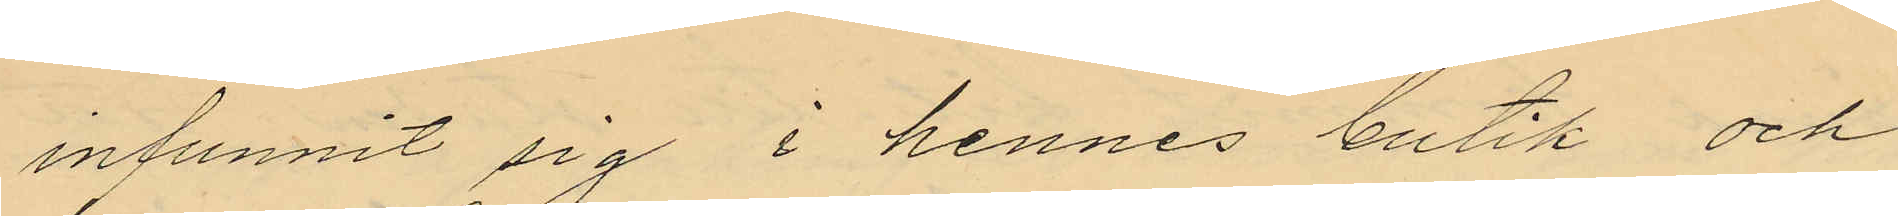infunnit sig i hennes butik och
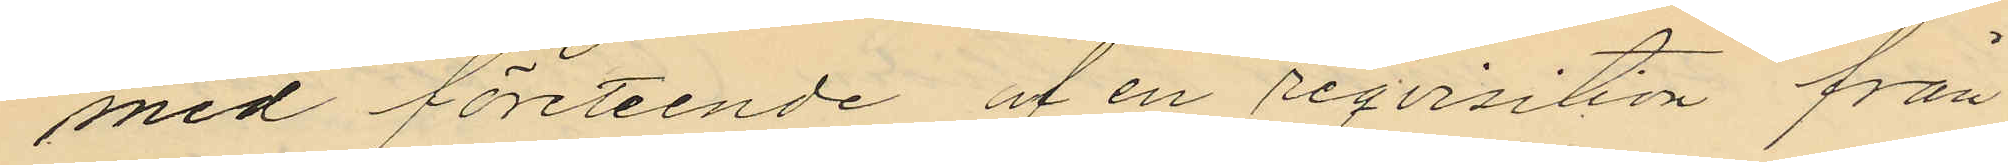med företeende af en reqvisition från
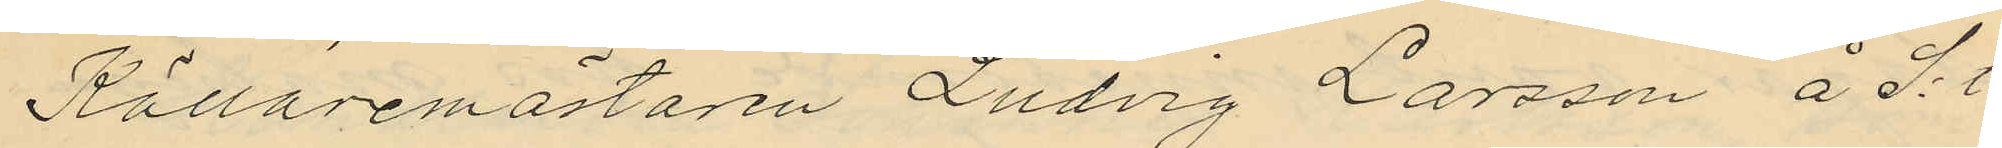Källaremästaren Ludvig Larsson å S:t
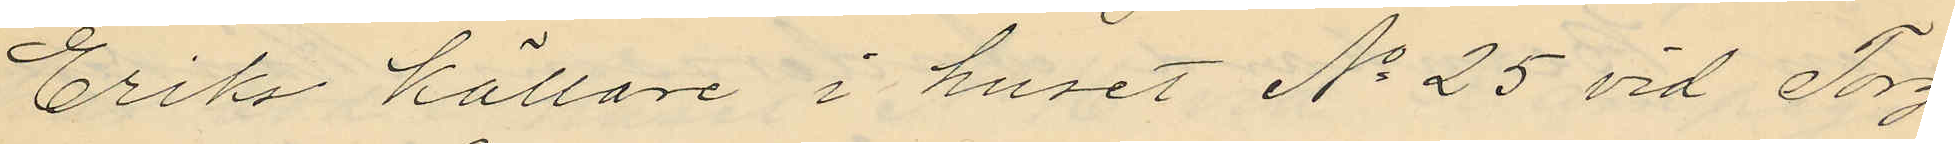Eriks Källare i huset No 25 vid Torg¬
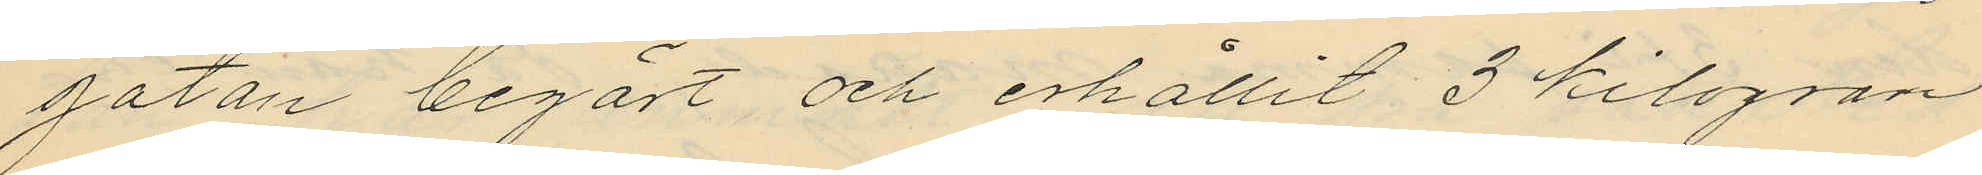gatan begärt och erhållit 3 kilogram
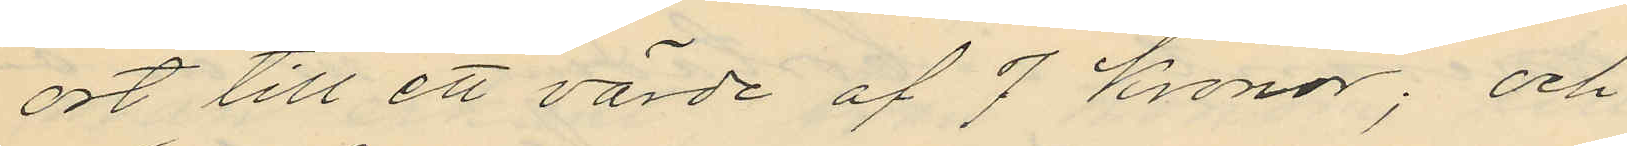ort till ett värde af 7 Kronor; och
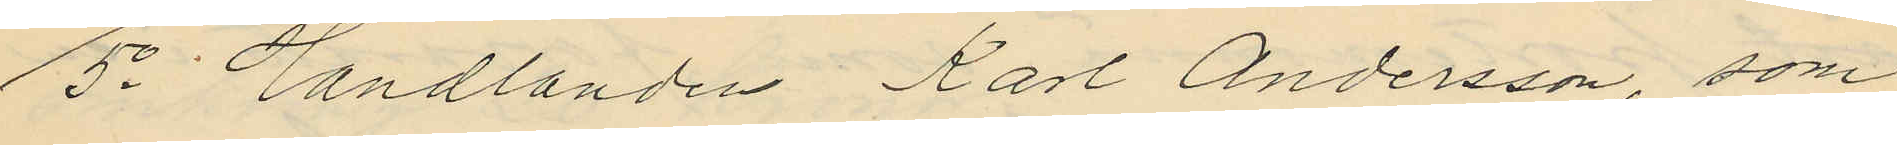5o Handlanden Karl Andersson, som
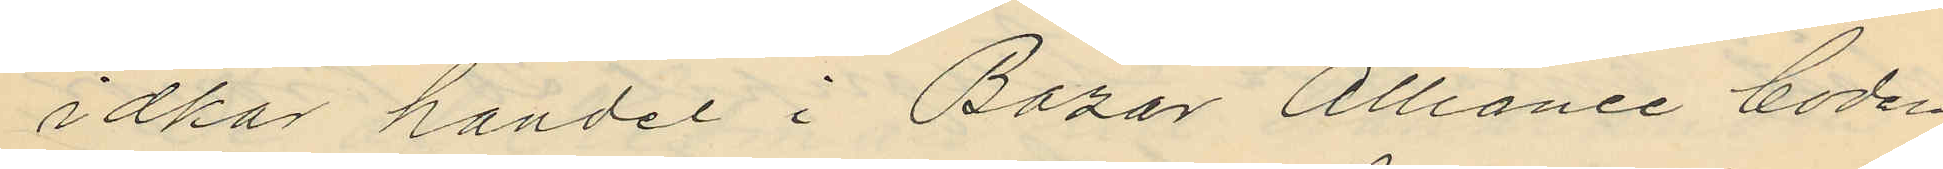idkar handel i Bazar Alliance boden
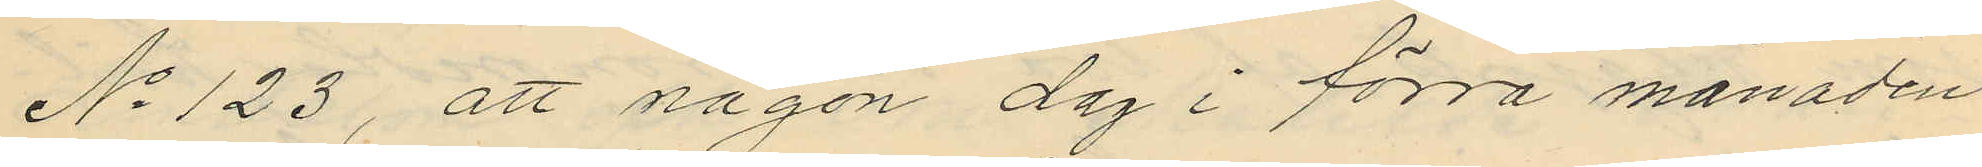No 123, att någon dag i förra månaden
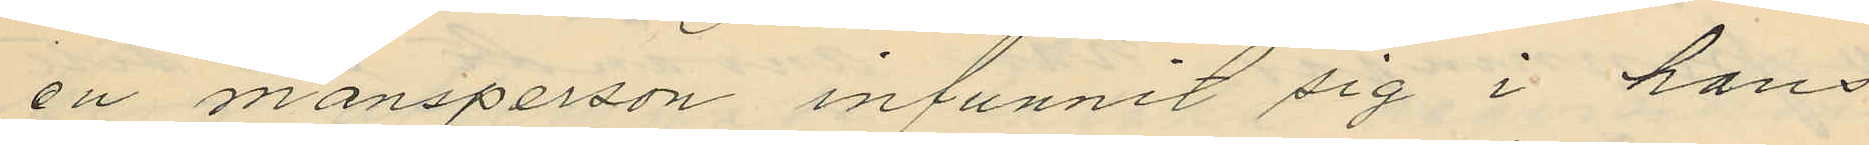en mansperson infunnit sig i hans
